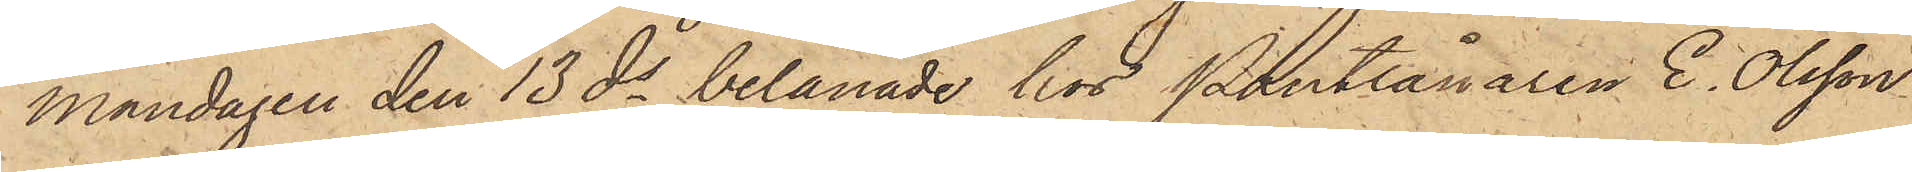måndagen den 13 ds belånade hos Pantlånaren E. Olsson
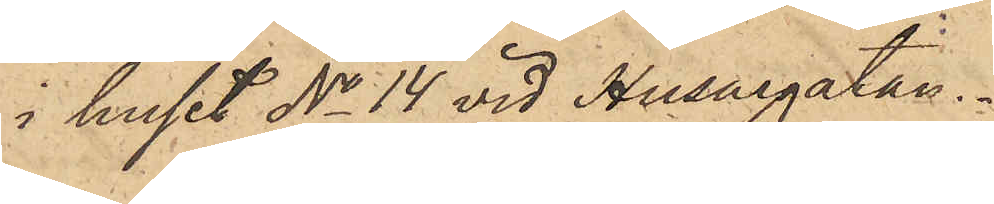i huset No 14 vid Husargatan.
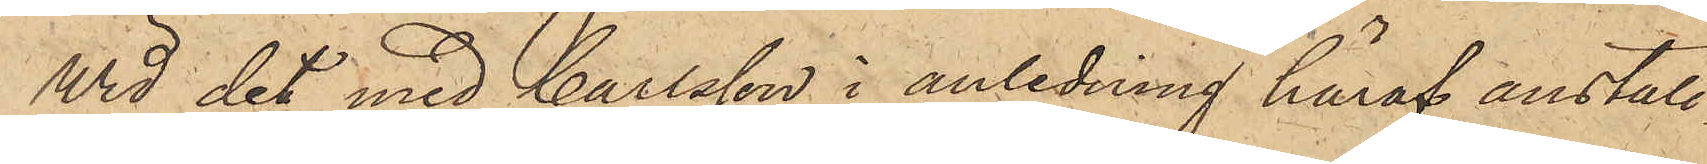Wid det med Carlsson i anledning häraf anställ¬
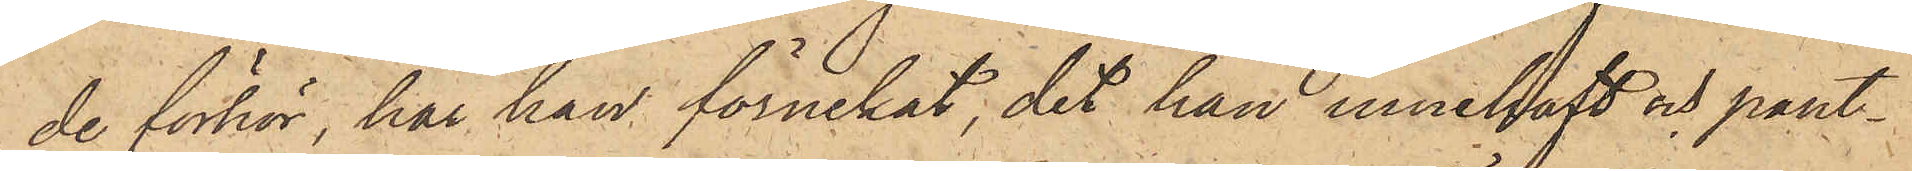de förhör, har han förnekat, det han innehaft och pant¬
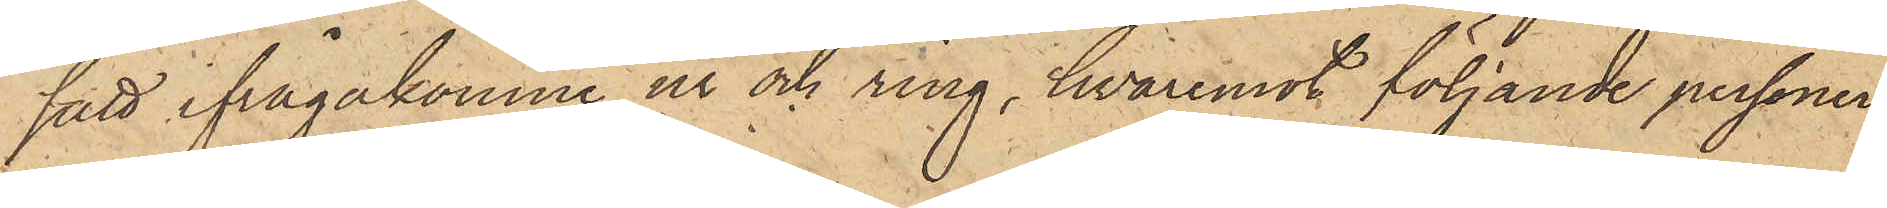satt ifrågakomne ur och ring, hvaremot följande personer
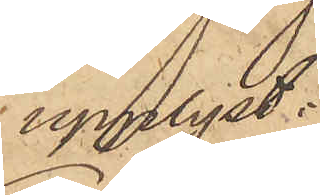upplyst:
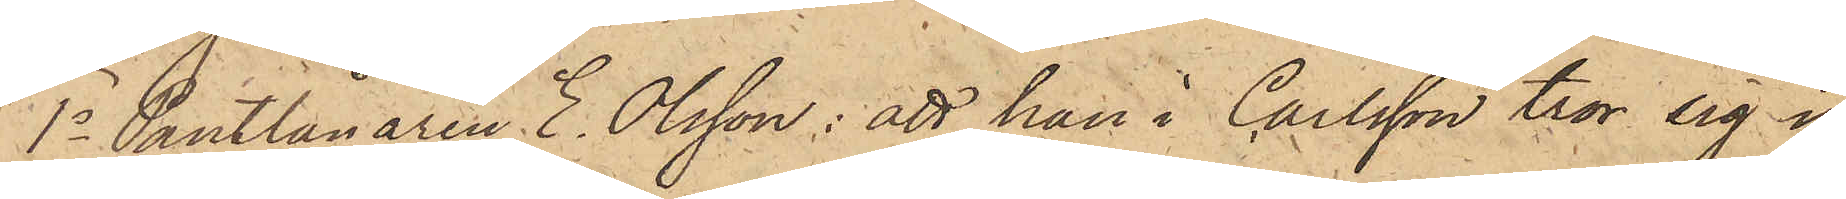1o Pantlånaren E. Olsson: att han i Carlsson tror sig i¬
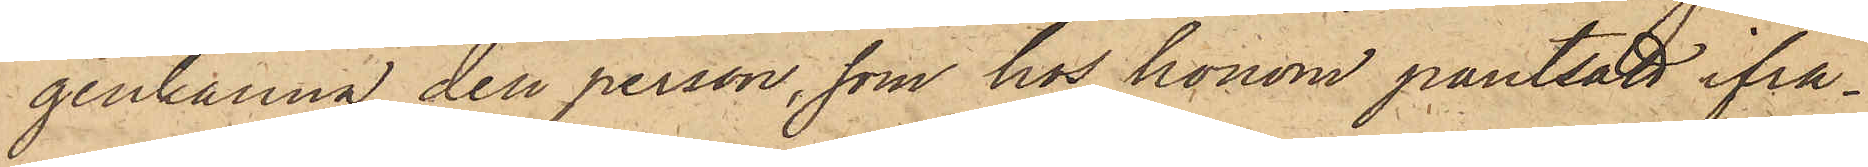genkänna den person, som hos honom pantsatt ifrå¬
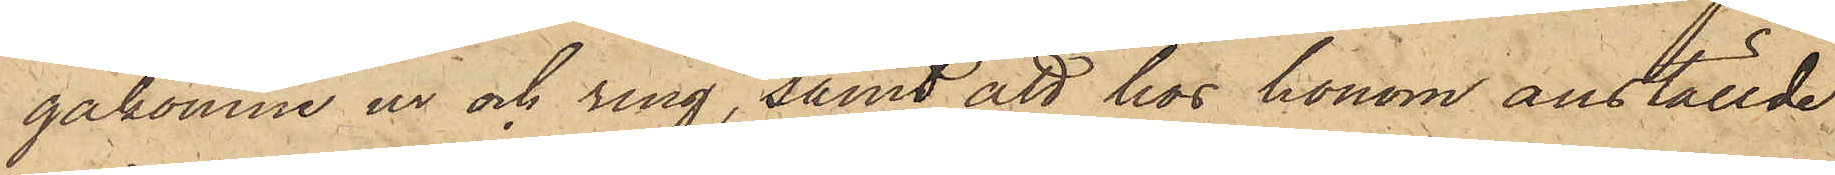gakomne ur och ring, samt att hos honom anställde
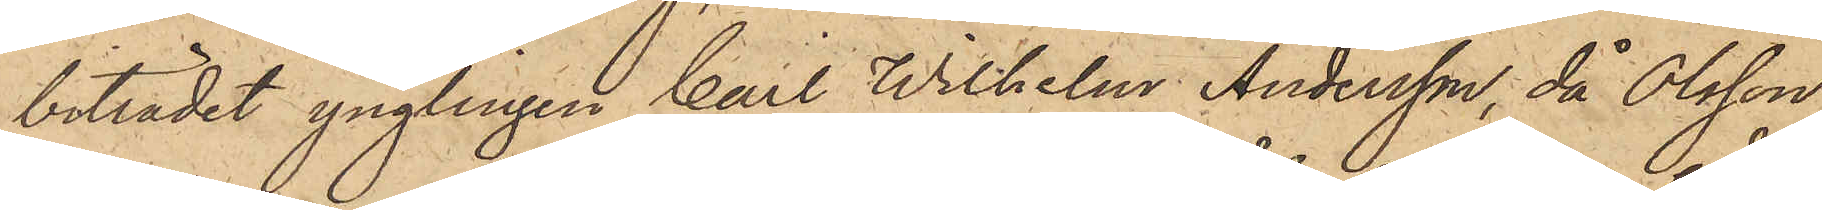biträdet ynglingen Carl Wilhelm Andersson, då Olsson
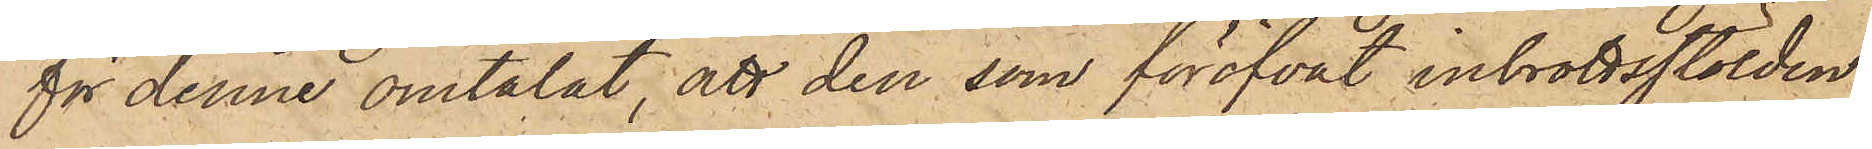för denne omtalat, att den som föröfvat inbrottsstölden
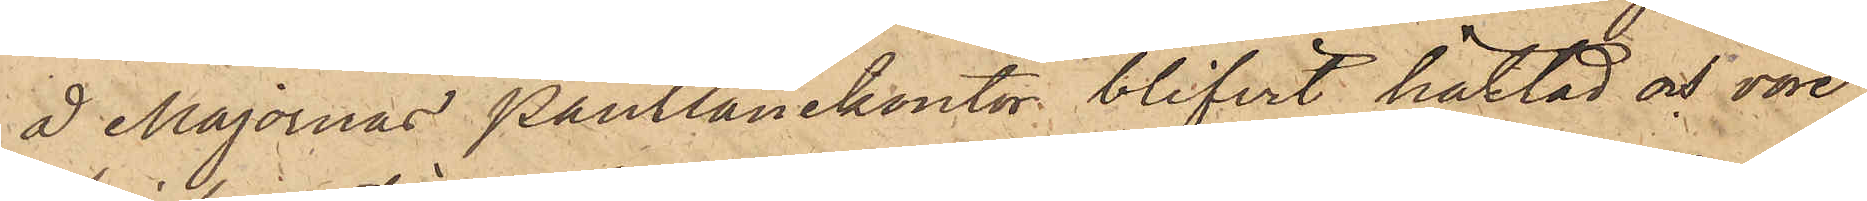å Majornas Pantlånekontor blifvit häktad och vore
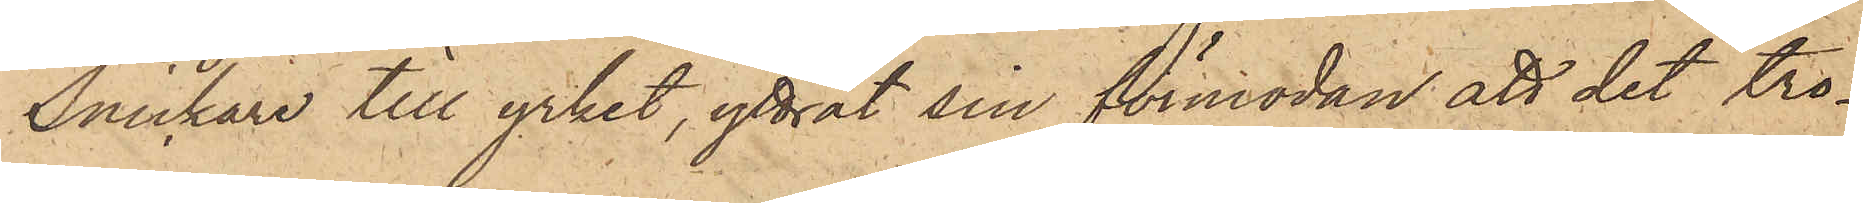Snickare till yrket, yttrat sin förmodan att det tro¬
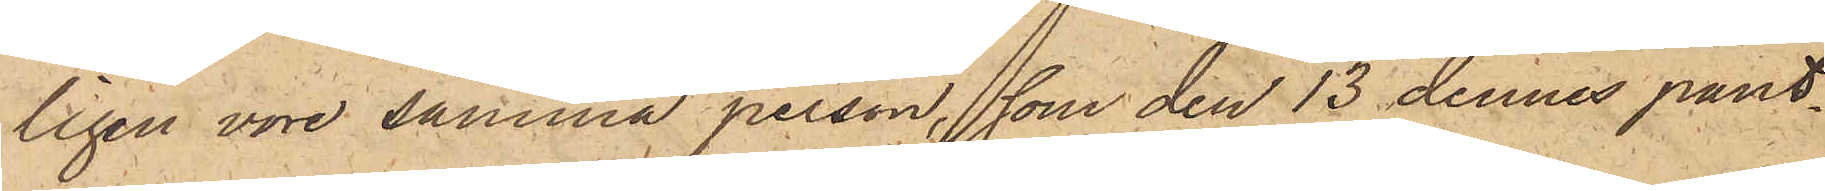ligen vore samma person, som den 13 dennes pant¬
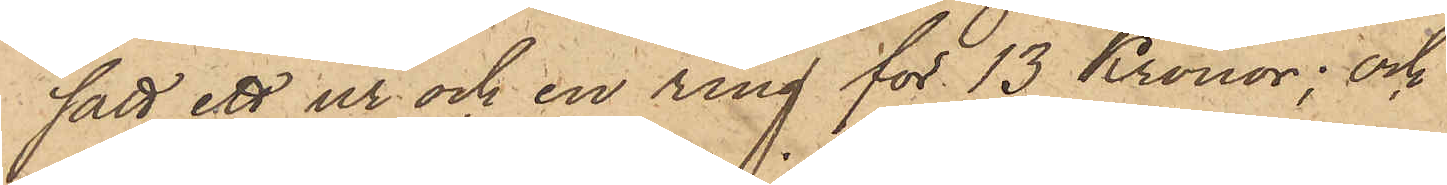satt ett ur och en ring för 13 Kronor; och
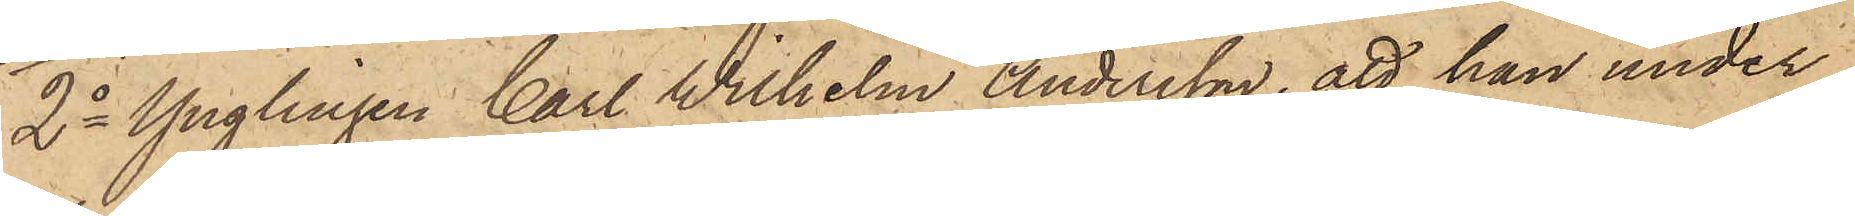2o Ynglingen Carl Wilhelm Andersson, att han under
